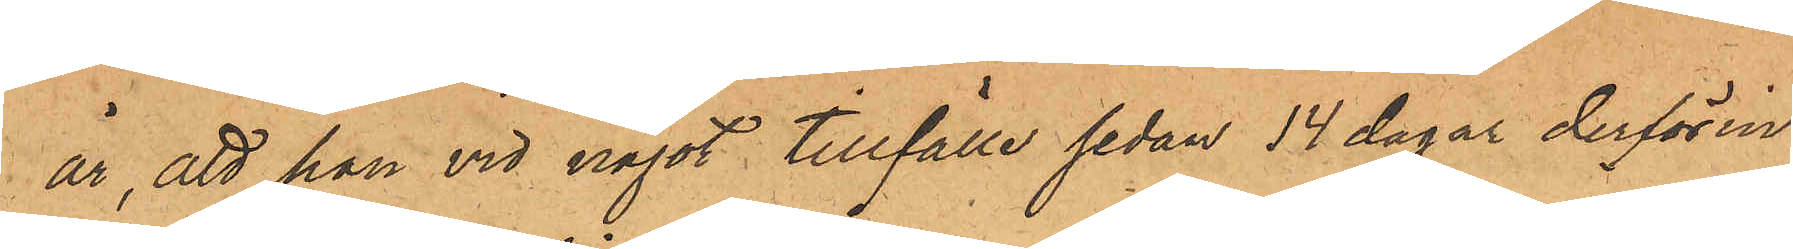år, att han vid något tillfälle sedan 14 dagar derförin¬
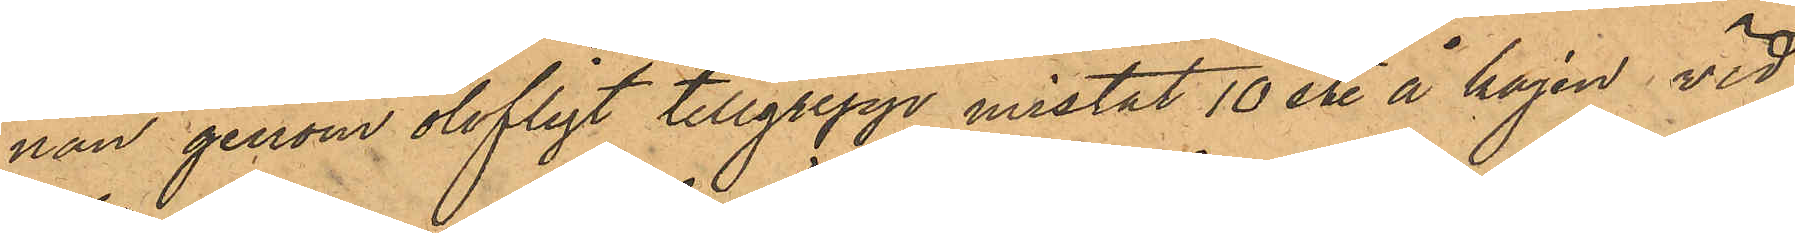nan genom olofligt tillgrepp mistat 10 st. å kajen vid
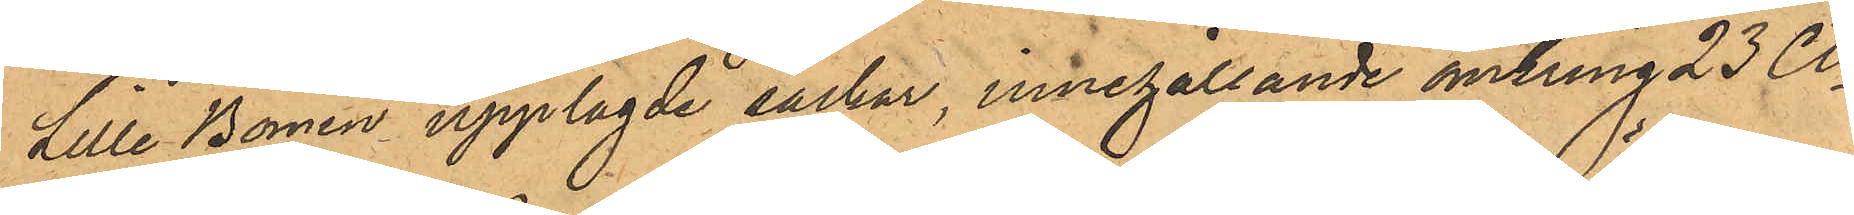Lille Bomen upplagde säckar, innehållande omkring 23 Ctr
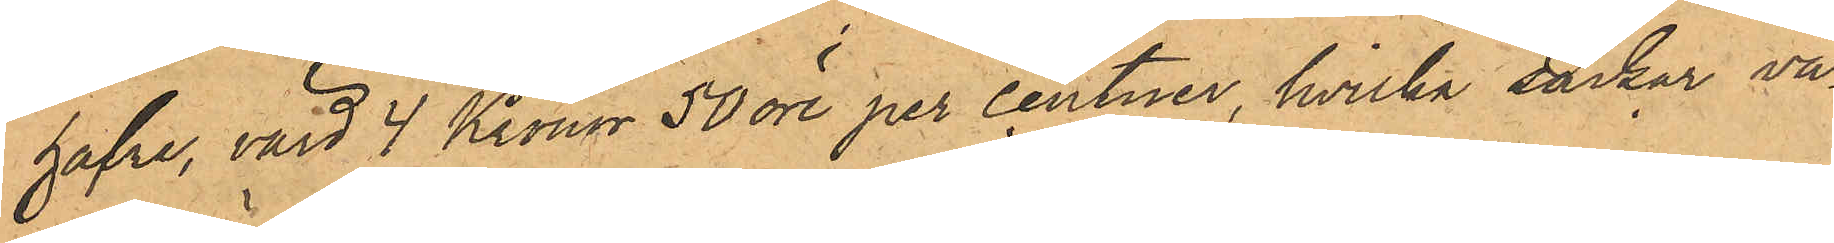hafre, värd 4 Kronor 50 öre per centner, hvilka säckar va¬
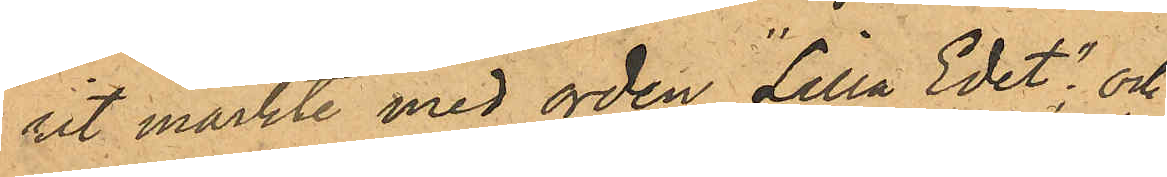rit märkte med orden "Lilla Edet"; och
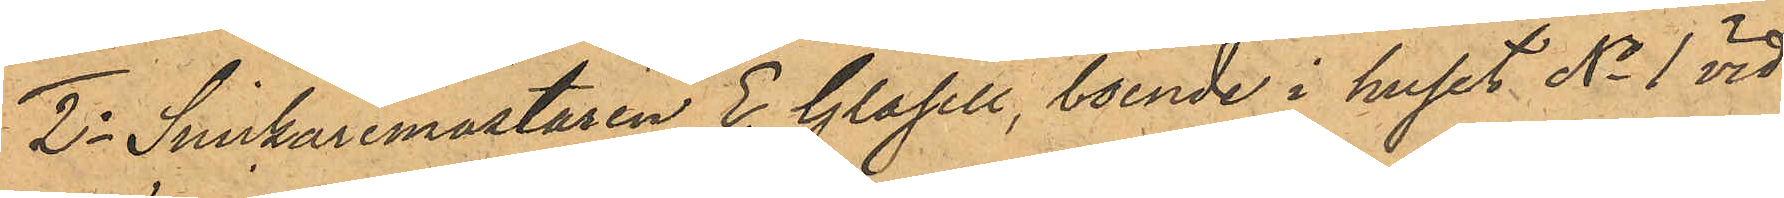2o Snickaremästaren E. Glasell, boende i huset No 1 vid
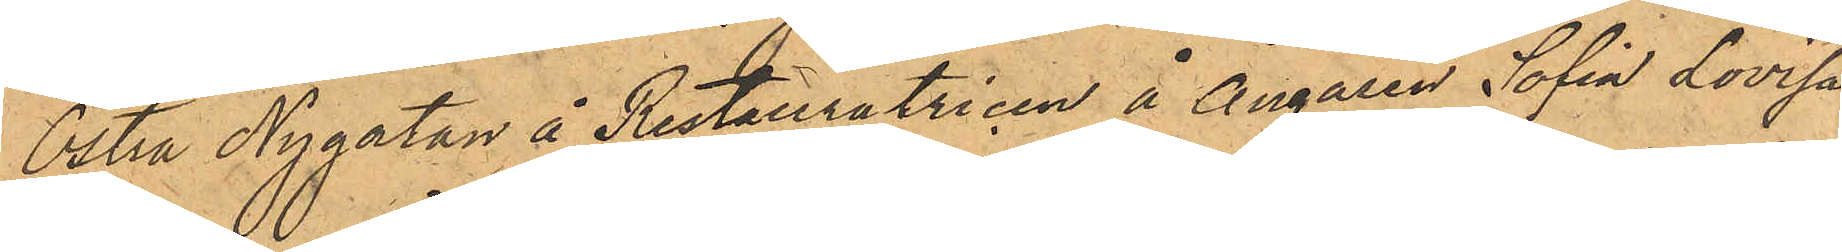Östra Nygatan å Restauratricen å Ångaren Sofia Lovisa
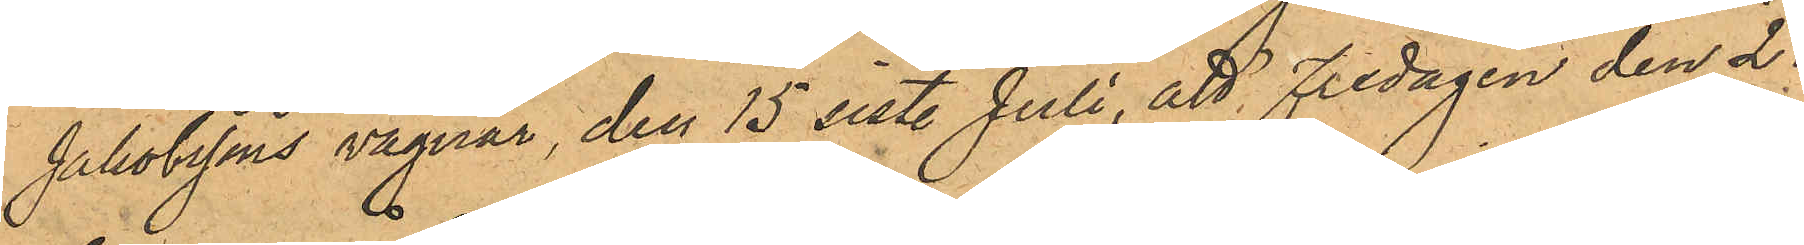Jakobssons vägnar, den 15 sist. Juli, att Fredagen den 2 i
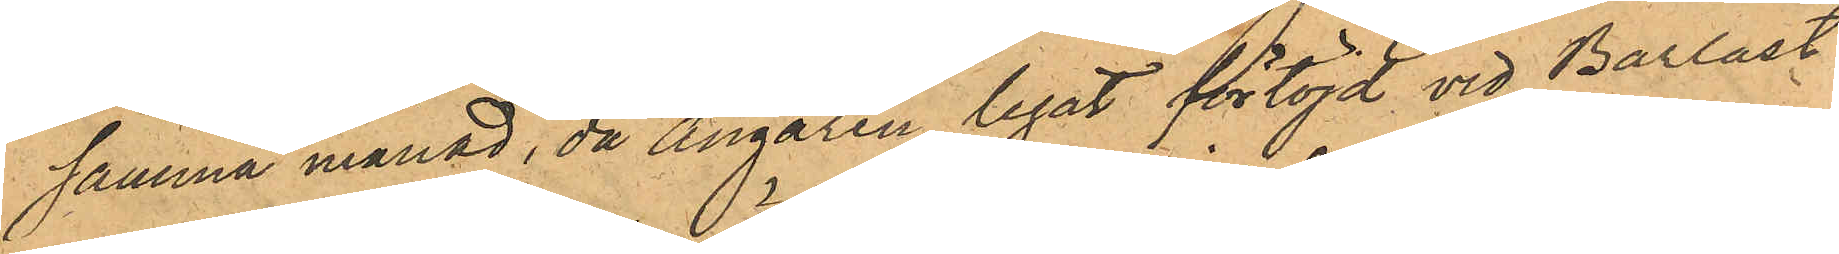samma månad, då Ångaren legat förtöjd vid Barlast¬
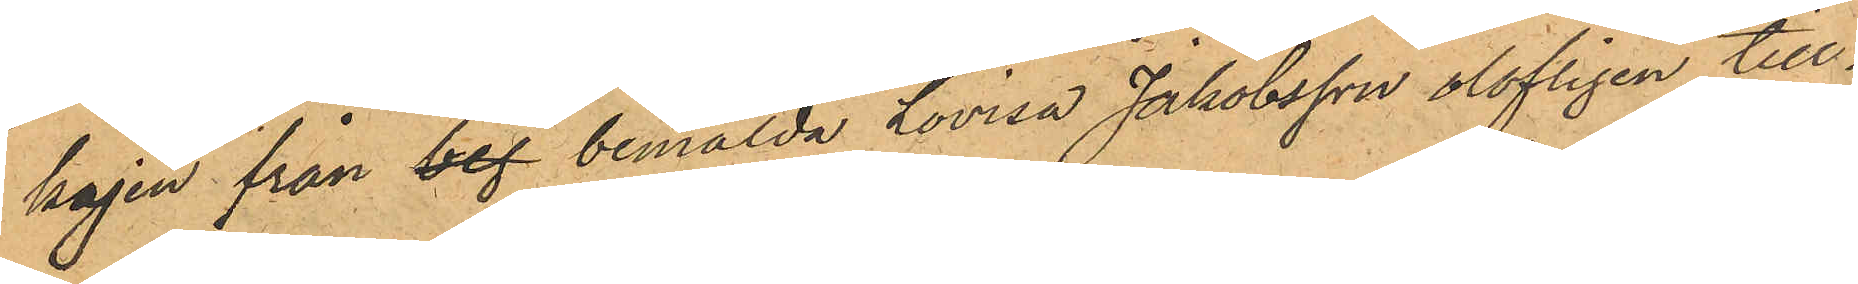kajen från bef bemälda Lovisa Jakobsson olofligen till¬
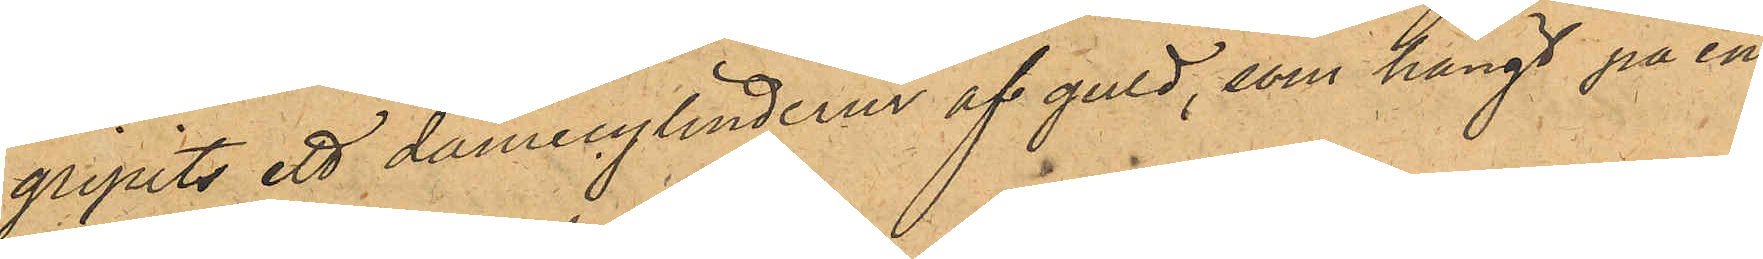gripits ett damecylinderur af guld, som hängt på en
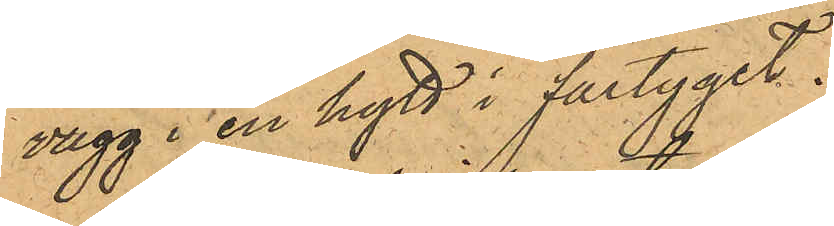vägg i en hytt i fartyget.
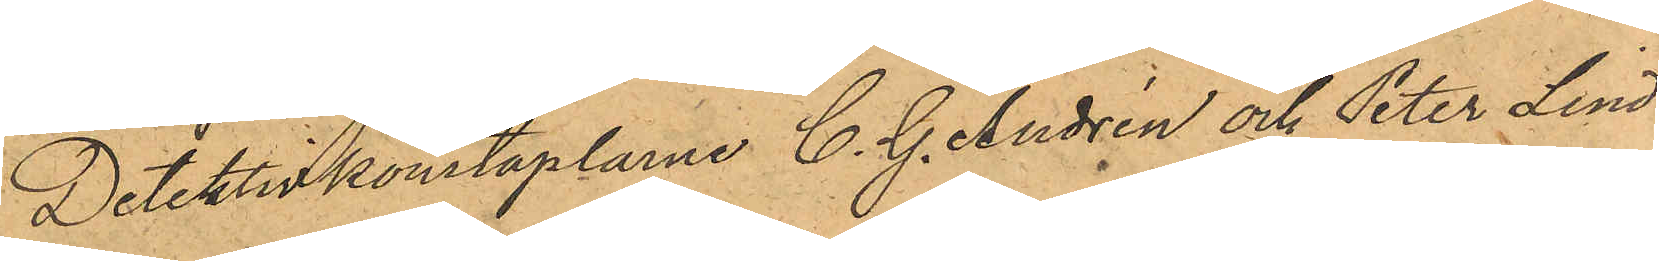Detektivkonstaplarne C. G. Andrén och Peter Lind¬
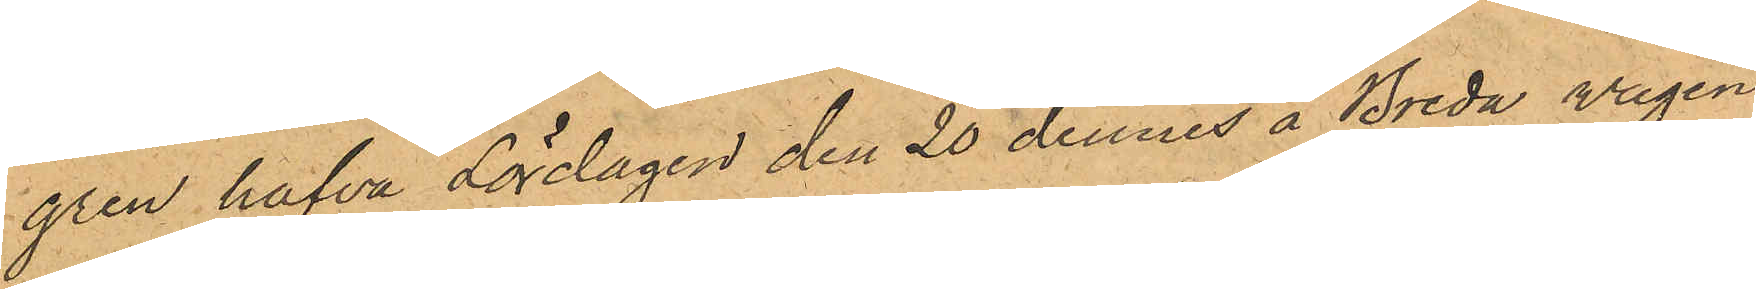gren hafva Lördagen den 20 dennes å Breda vägen
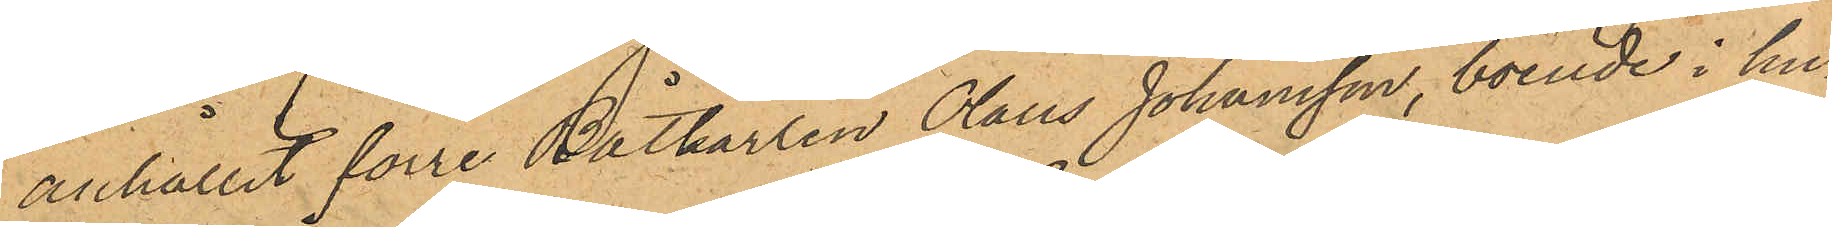anhållit förre Båtkarlen Olaus Johansson, boende i hu¬
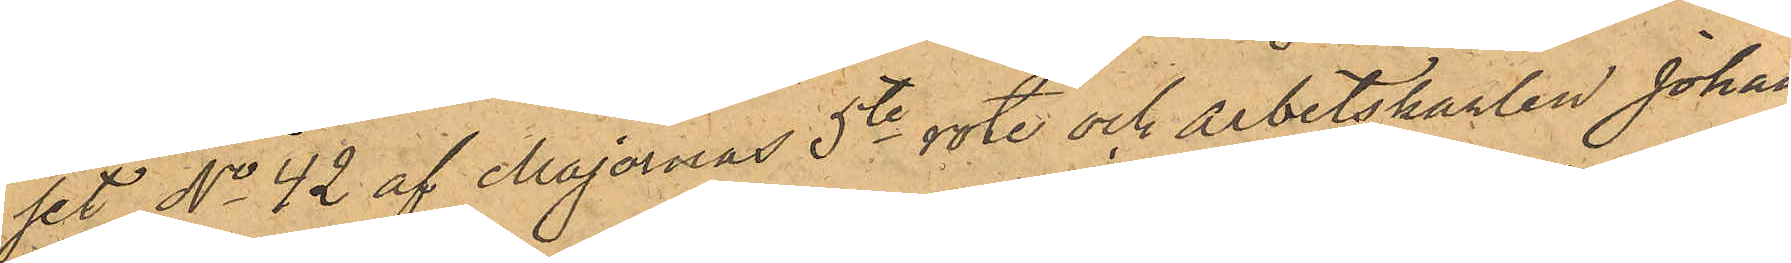set No 42 af Majornas 5te rote och arbetskarlen Johan
